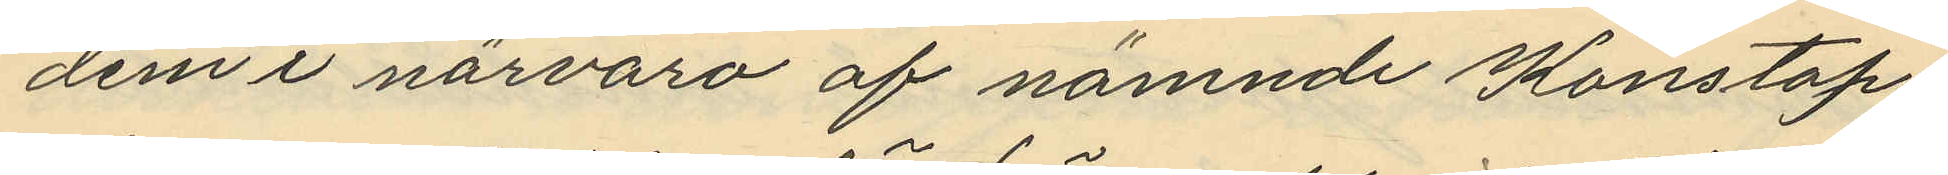dem i närvaro af nämnde Konstap¬
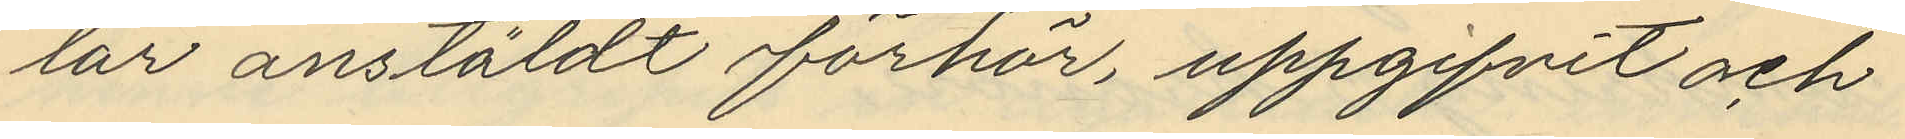lar anstäldt förhör, uppgifvit och
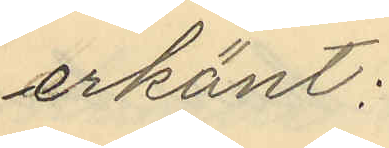erkänt:
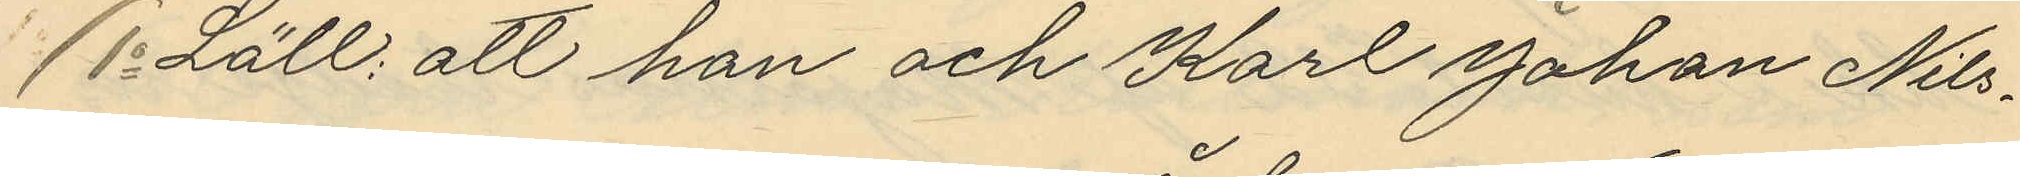Lätt; att han och Karl Johan Nils¬
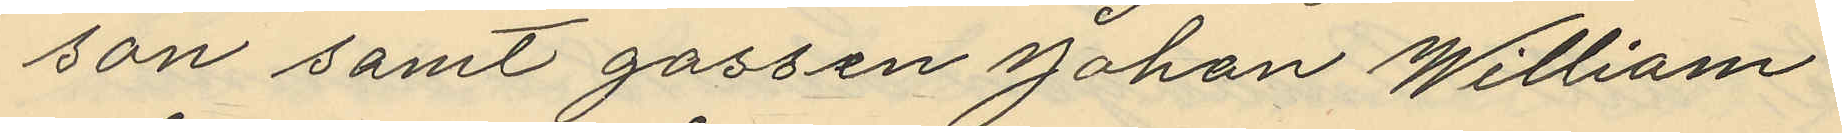son samt gossen Johan William
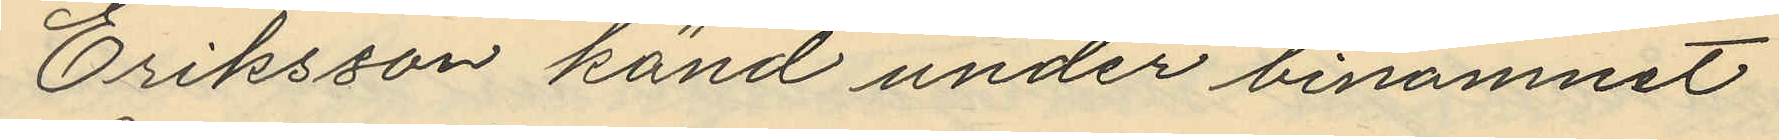Eriksson känd under binamnet
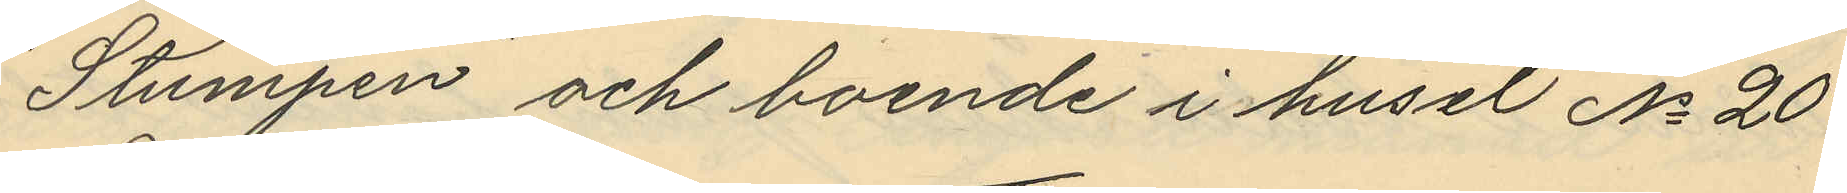"Stumpen" och boende i huset No 20
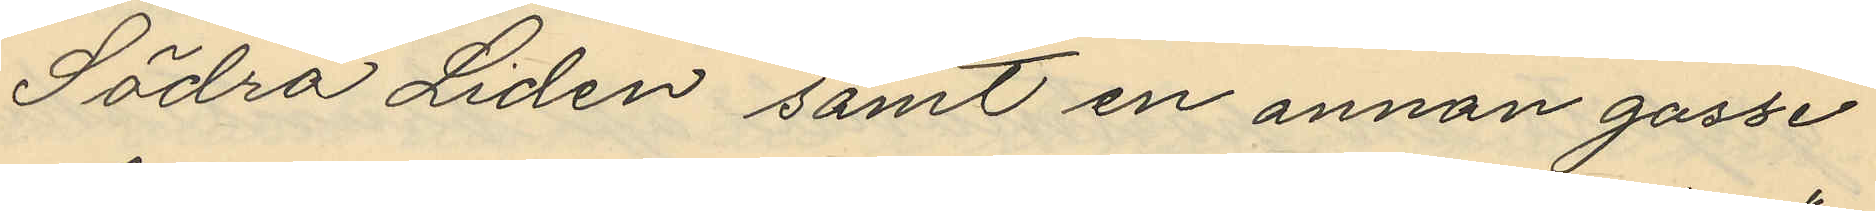Södra Lidén samt en annan gosse
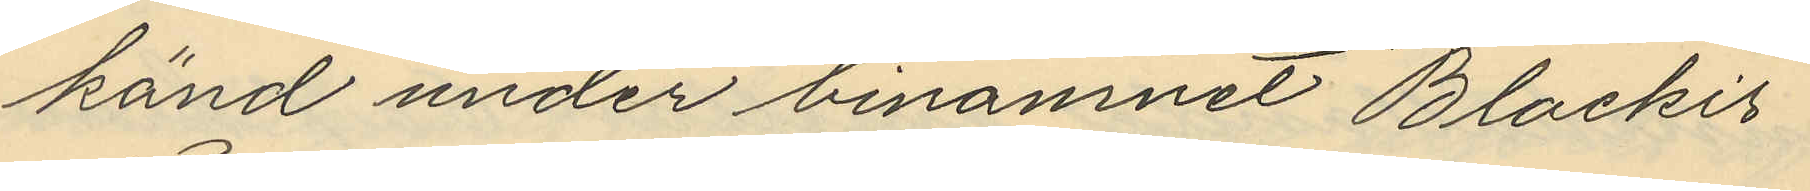känd under binamnet "Blackis"
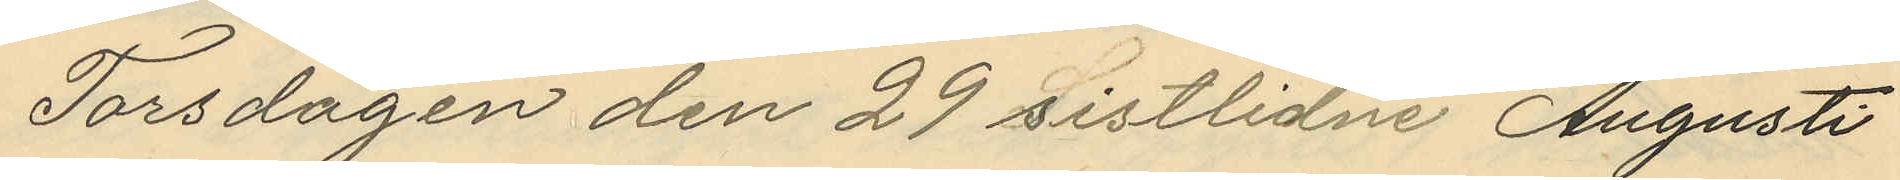Torsdagen den 29 sistlidne Augusti
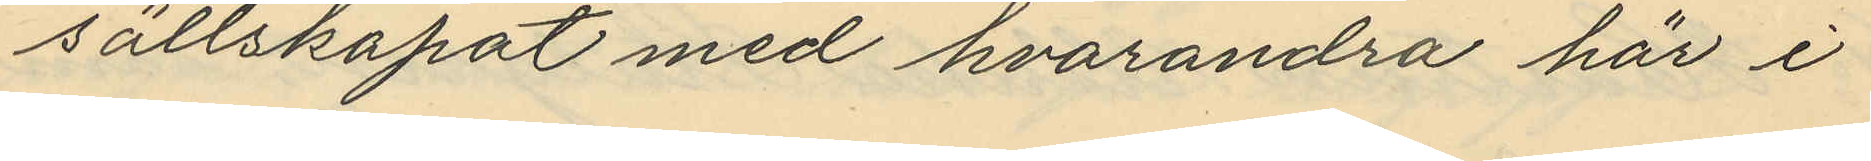sällskapat med hvarandra här i
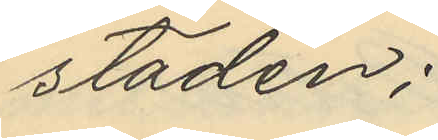staden;
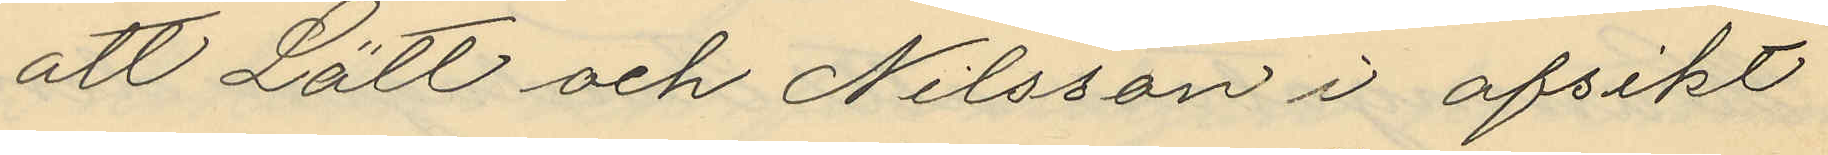att Lätt och Nilsson i afsikt
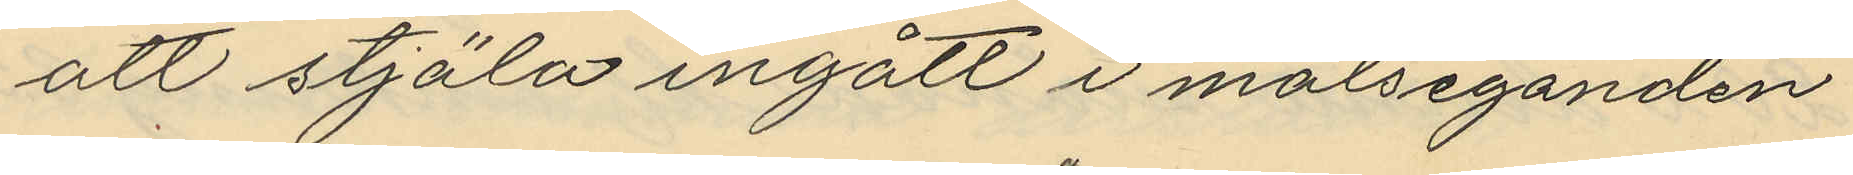att stjäla ingått i målseganden
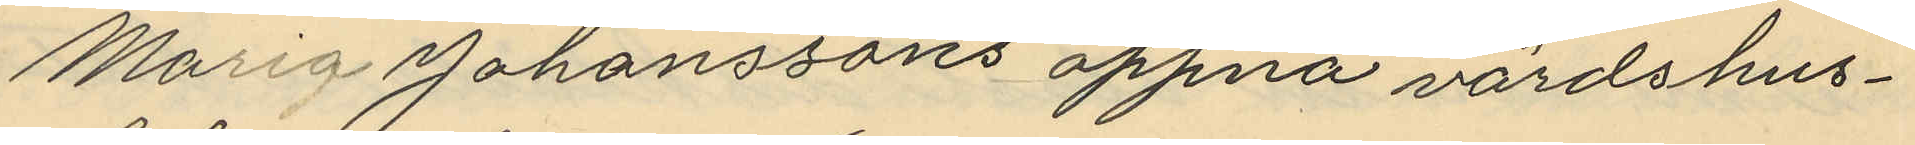Maria Johanssons öppna värdshus¬
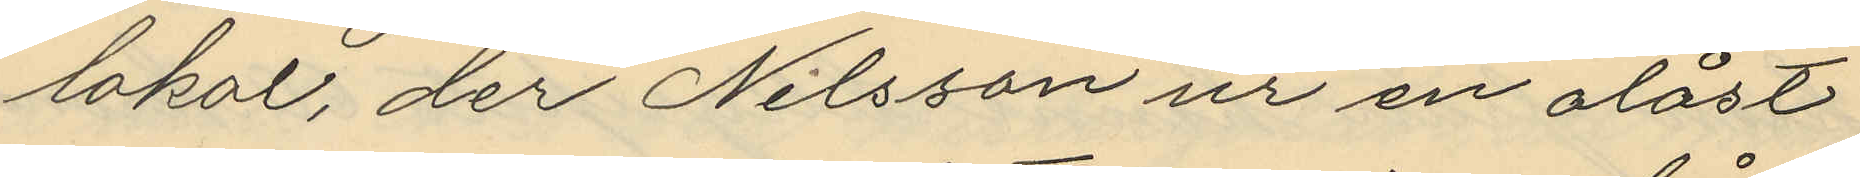lokal, der Nilsson ur en olåst
